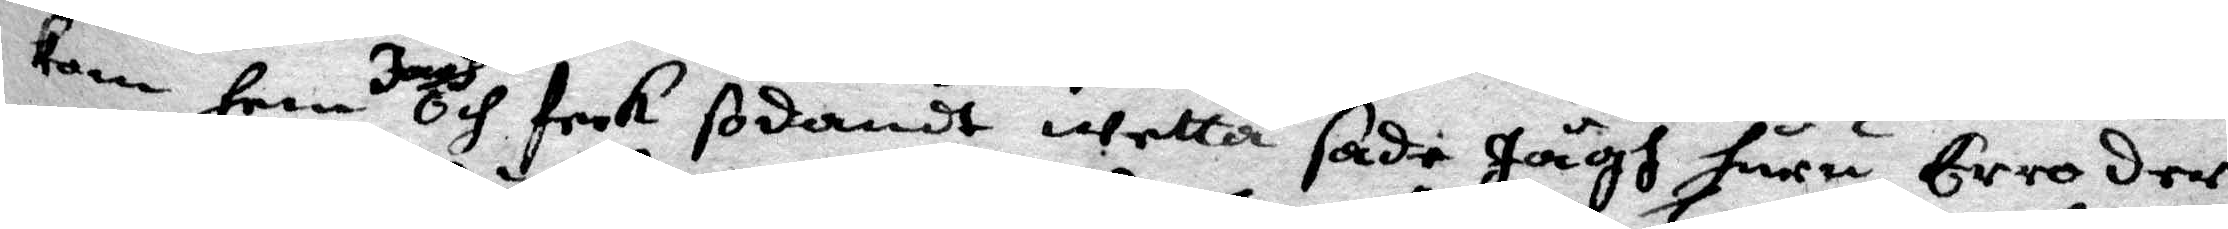kom hem Jagh och feck sodandt wetta sade Jägh huru Erro der
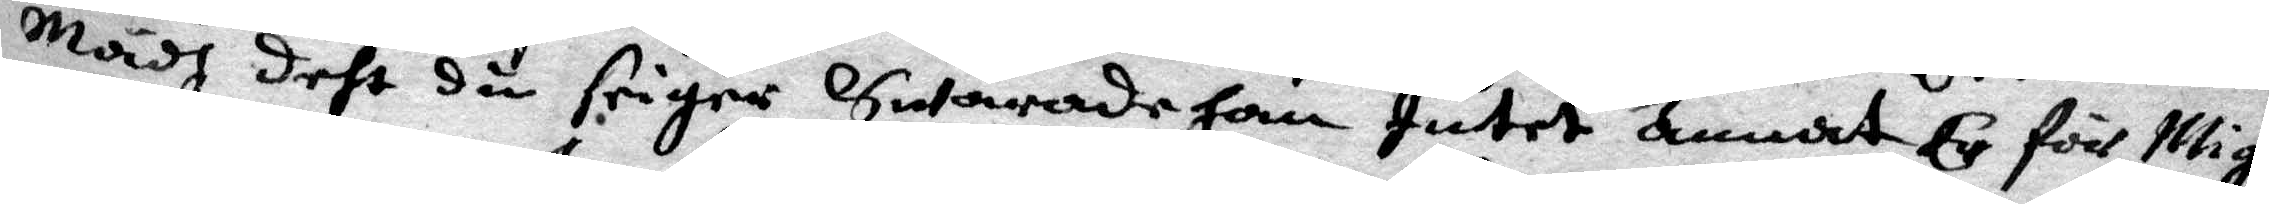mädh deht du seiger swärade han Intet annat Ey för Migh
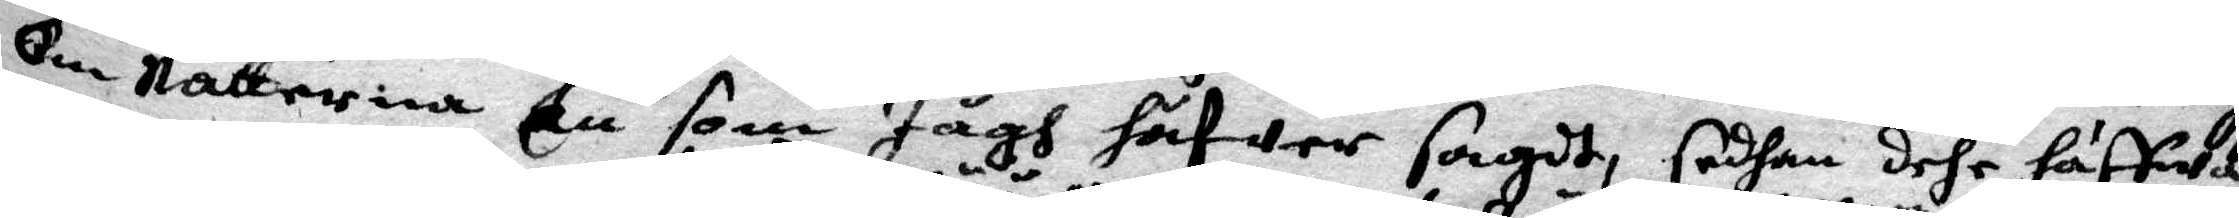om Nätterna En som Jägh häfwer sagdt, sedhan dehr häffwa
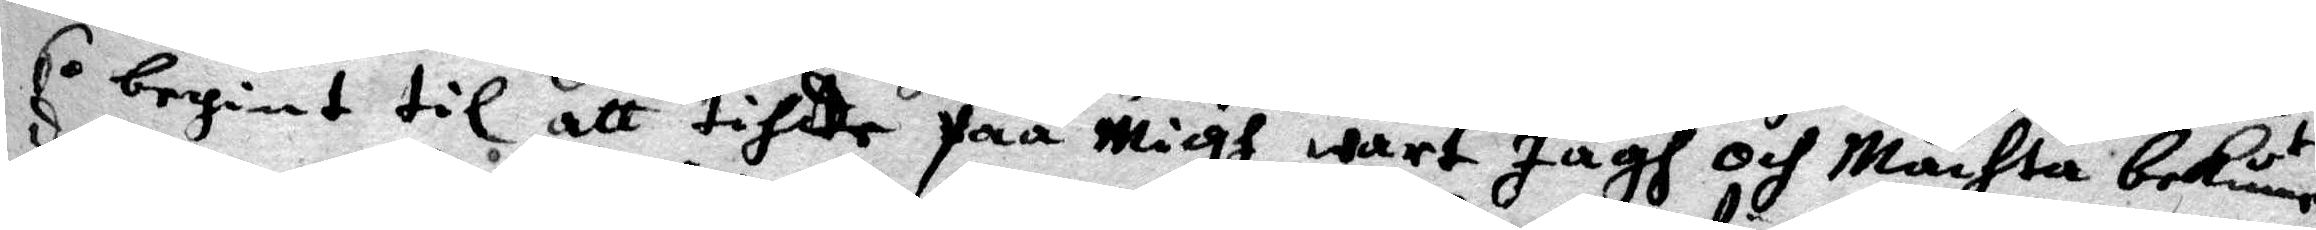so begint til att tihde påå Migh wart Jägh och Mächta bekänna
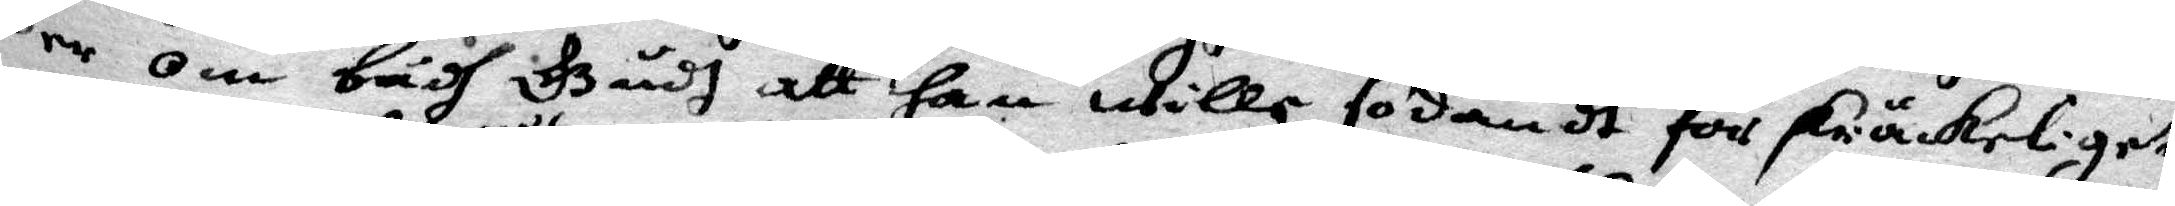der om bådh Gudh att Han wille sodant för skräckeliget
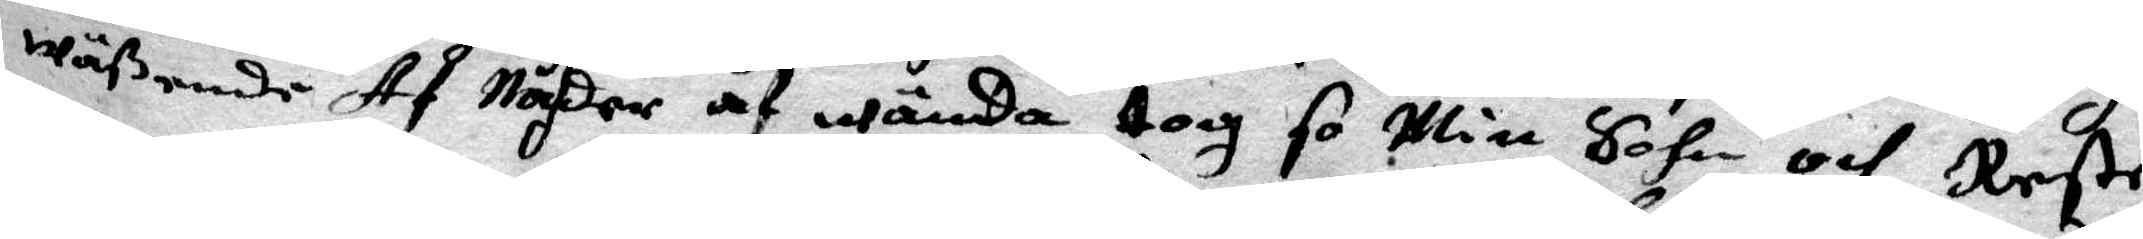wäßende Af Nåhder af wända tog so Min Sohn och Reste
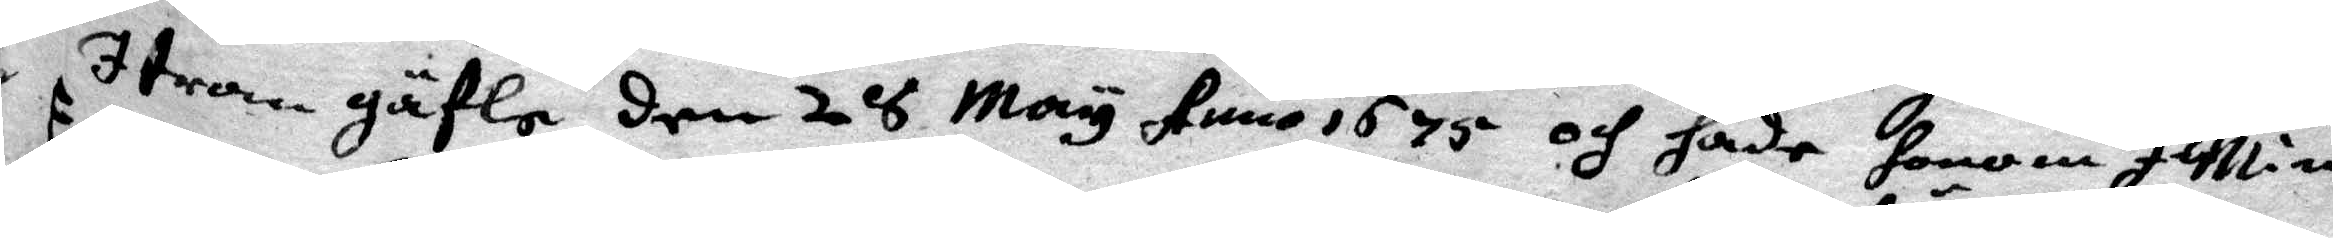I tron gäfle den 28 May Anno 1675 och hade honom I Min
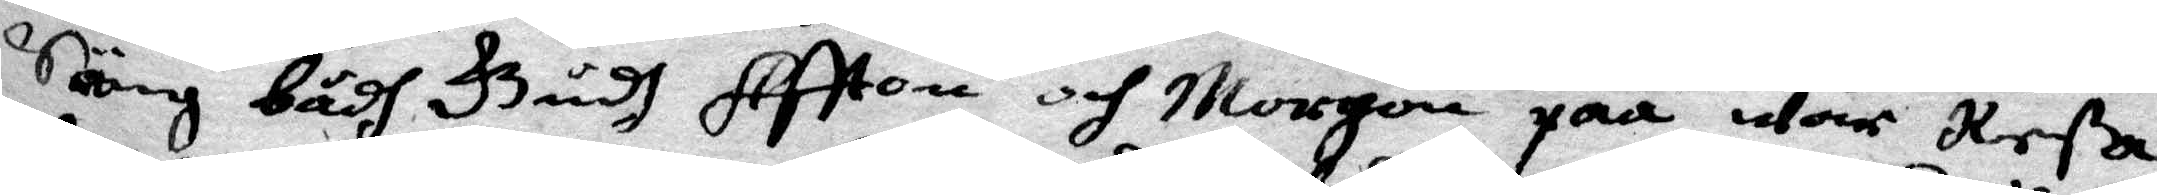Säng bådh Gudh Aftton och Morgon påå wår Reßa
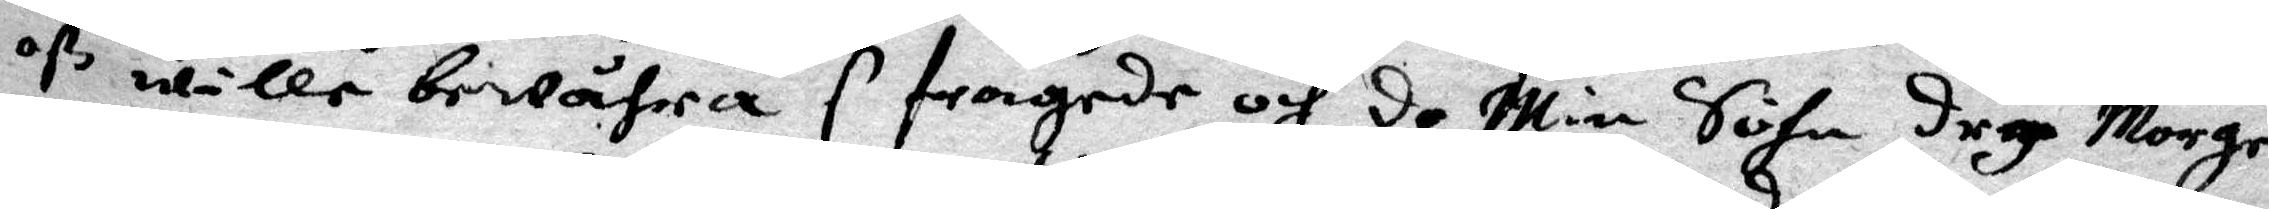ß wille bewåhra S fragede och do Min Sohn dry Morger
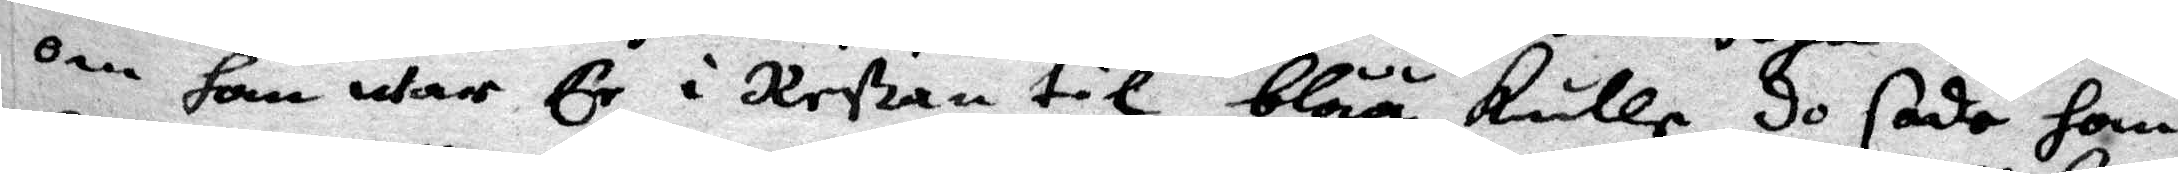om Han war Er i Reßan till blåå kulla do sade Han
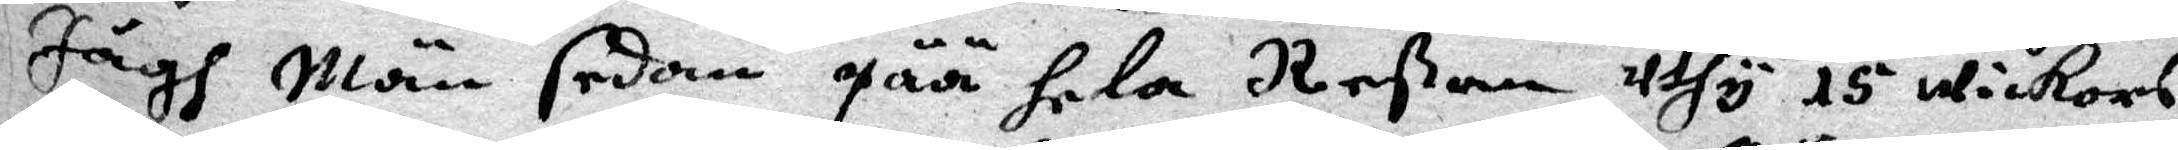Jägh Män sedan påå hela Reßan uthy 15 wickors
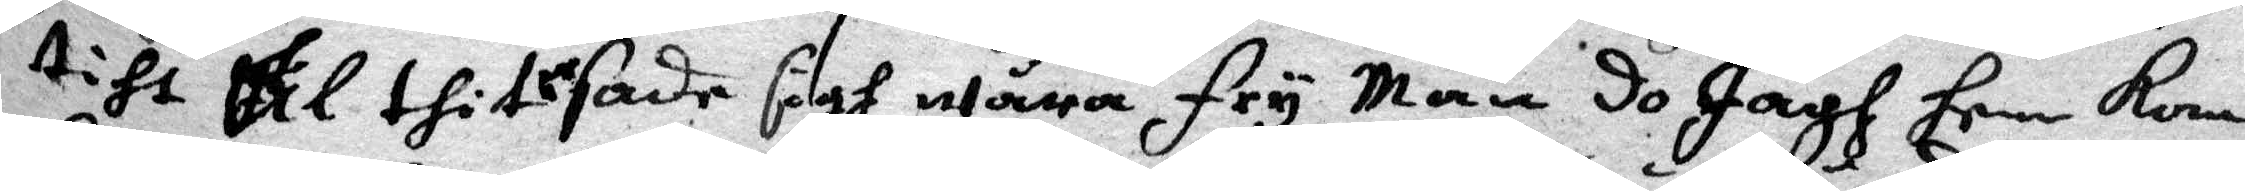tiht til thit sade sigh wåra fry Män do Jägh hem kom
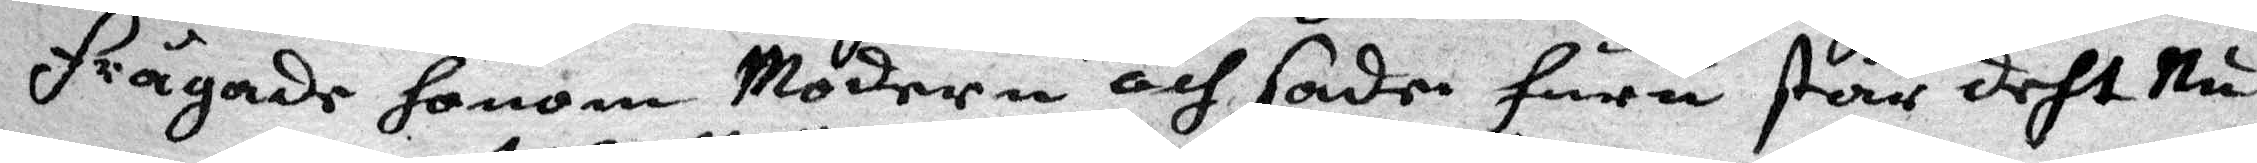frågade honom Modern och sade huru står deth nu
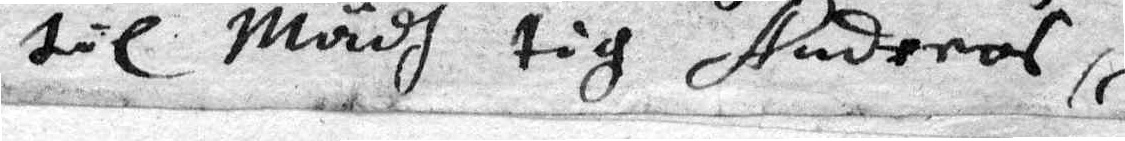til Mädh tig studeras,
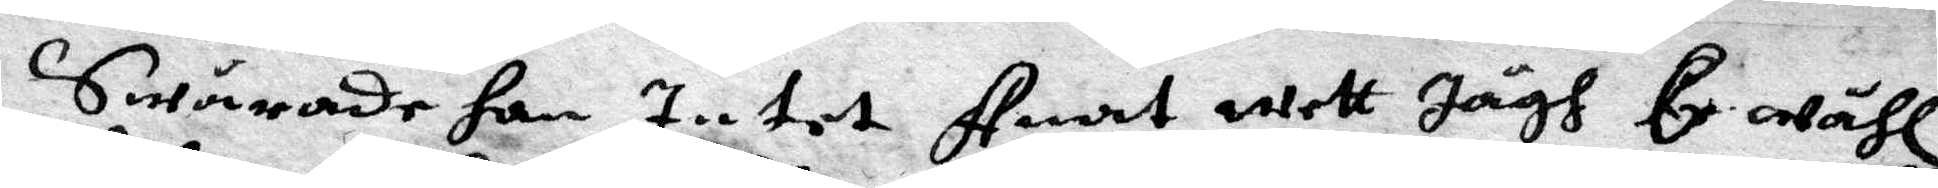Swärade han Intet Anat wett Jägh Er wähl
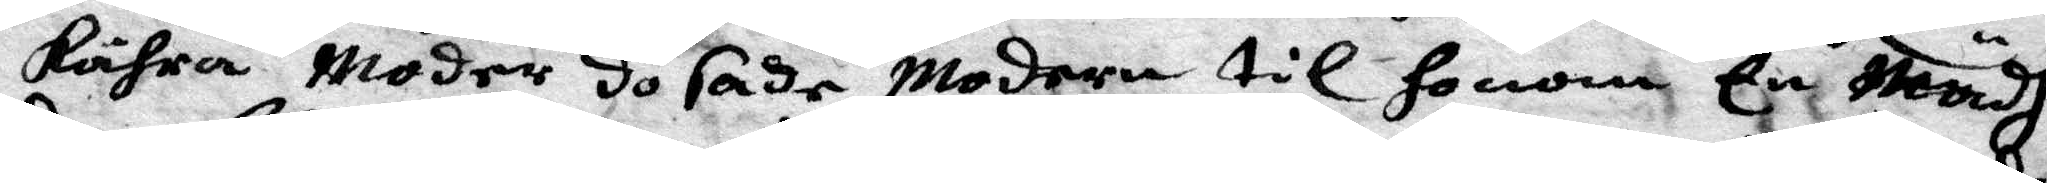kähra Moder do sade Modren til honom En Mädh
